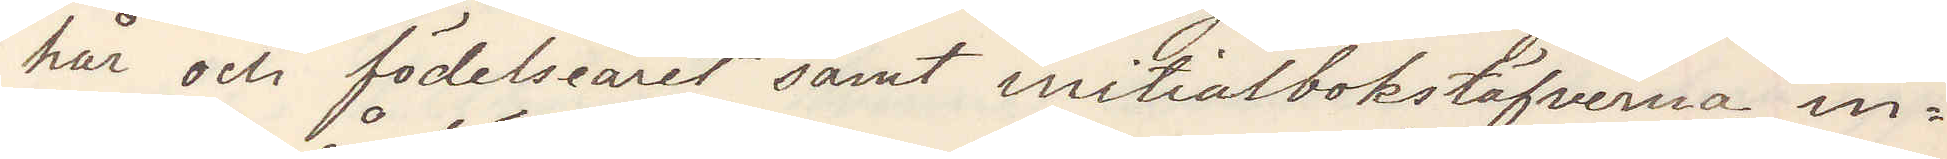hår och födesleåret samt initialbokstäfverna in¬
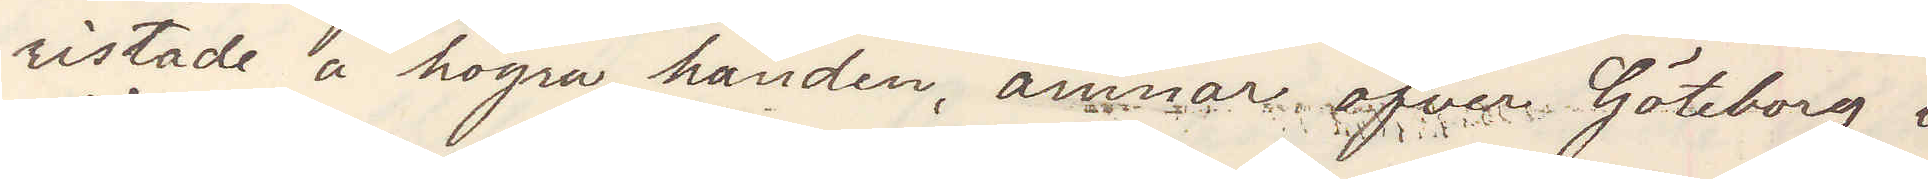ristade å högra handen, ämnar öfver Göteborg i
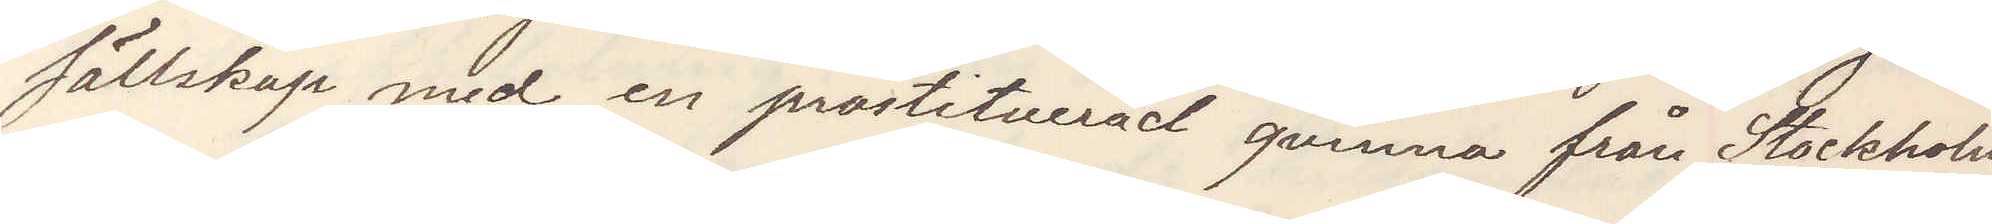sällskap med en prostituerad qvinna från Stockholm
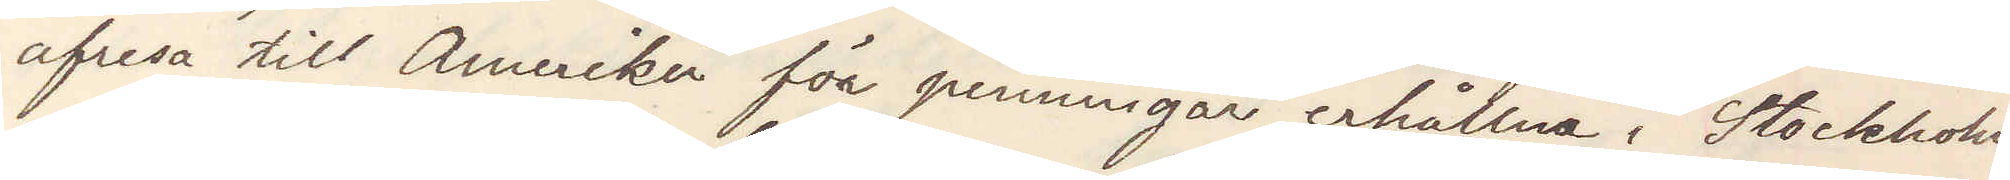afresa till Amerika för penningar erhållna i Stockholm
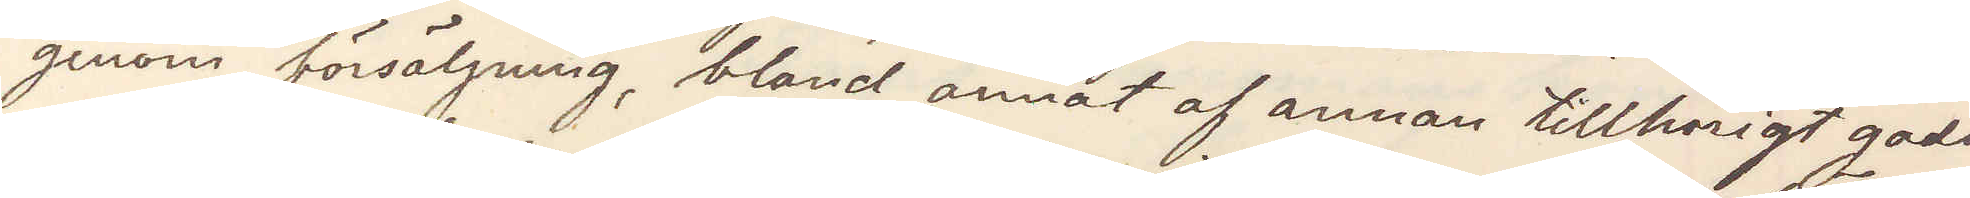genom försäljning, bland annat af annan tillhörigt gods.
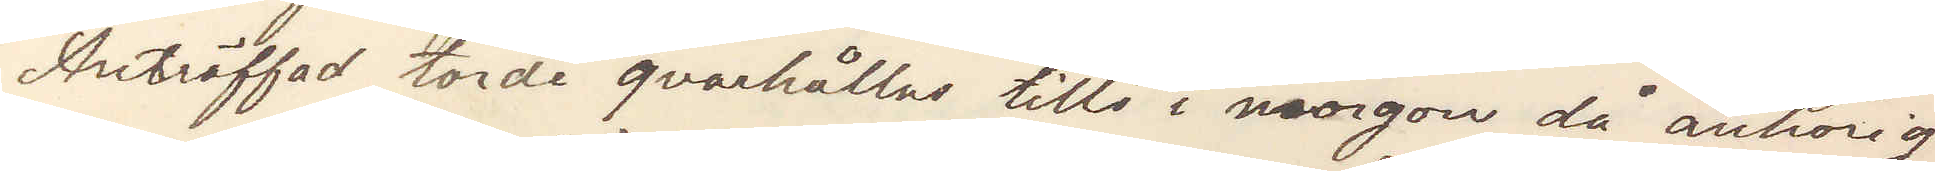Anträffad torde qvarhållas tills i morgon då anhörig
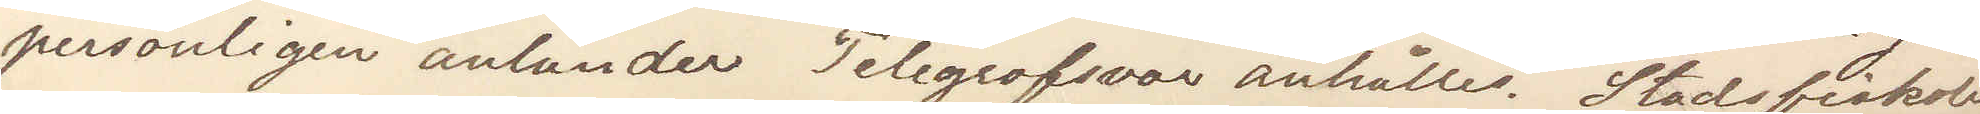personligen anländer  Telegrafsvar anhålles. Stadsfiskalen
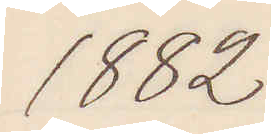1882
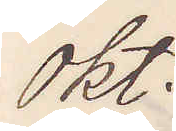okt.
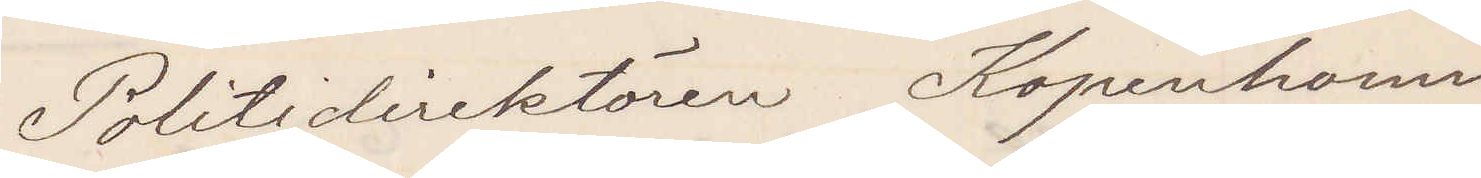Politidirektören Kopenhamn
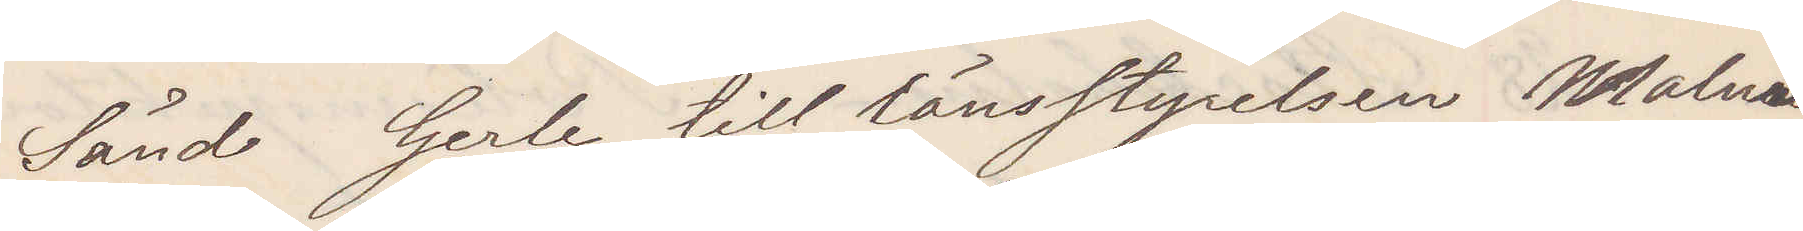Sänd Gerle till länsstyrelsen Malmö,
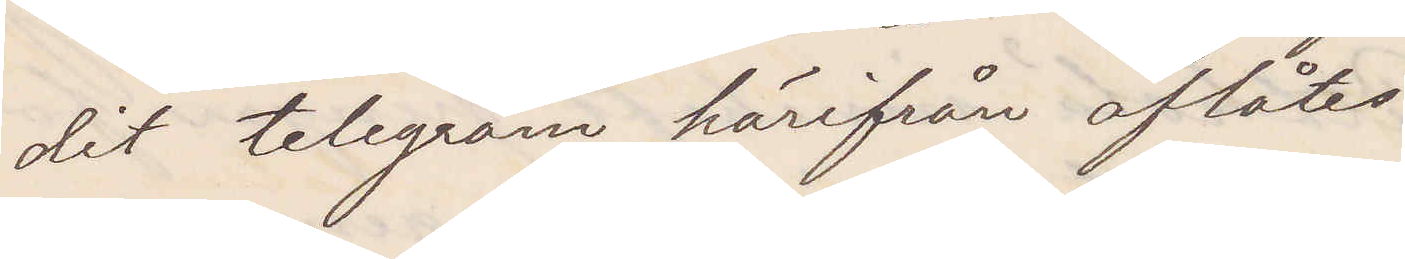dit telegram härifrån aflåtes
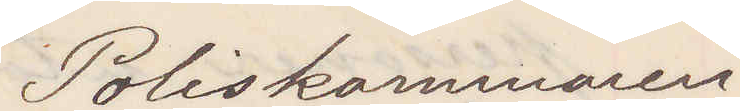Poliskammaren
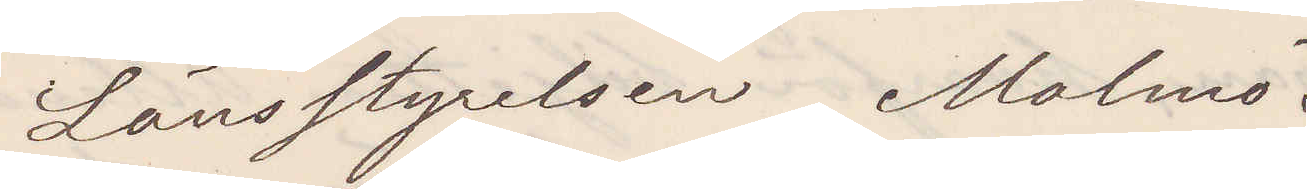Länsstyrelsen Malmö.
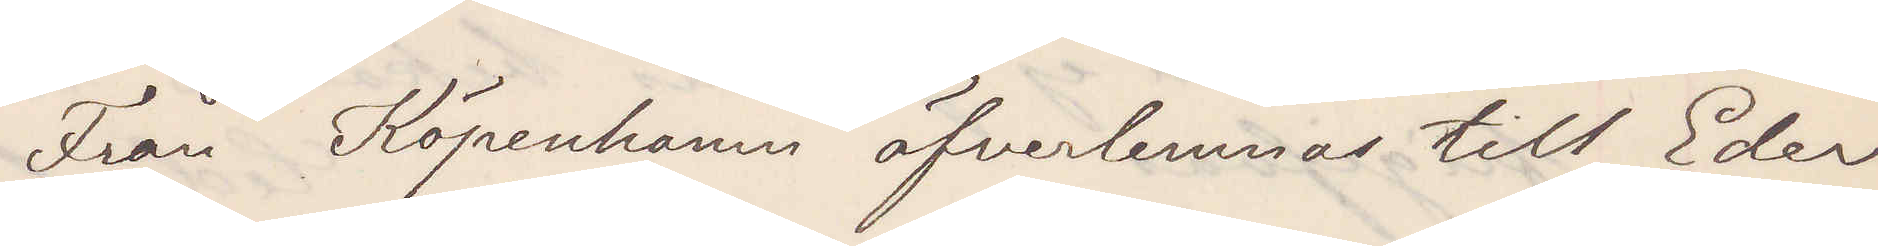Från Köpenhamn öfverlemnas till Eder
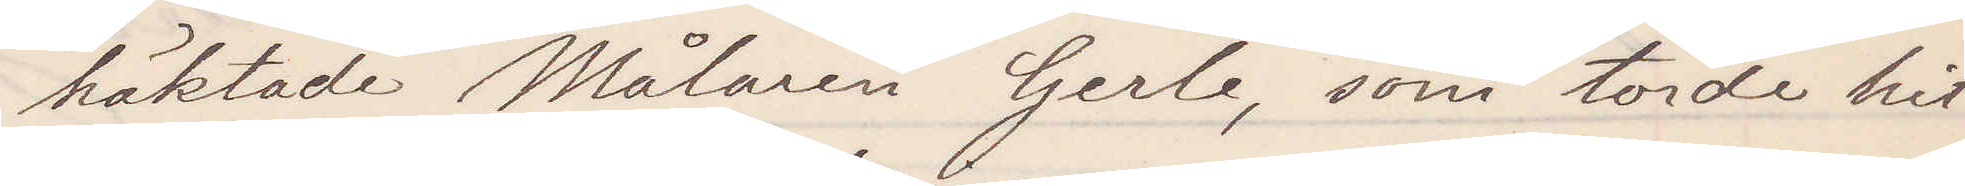häktade Målaren Gerle, som torde hit
